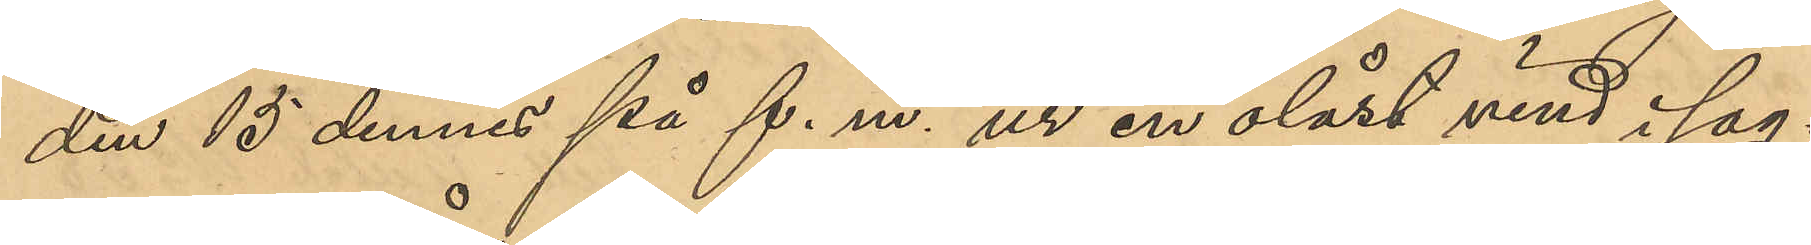den 15 dennes på f. m. ur en olåst vind i sag¬
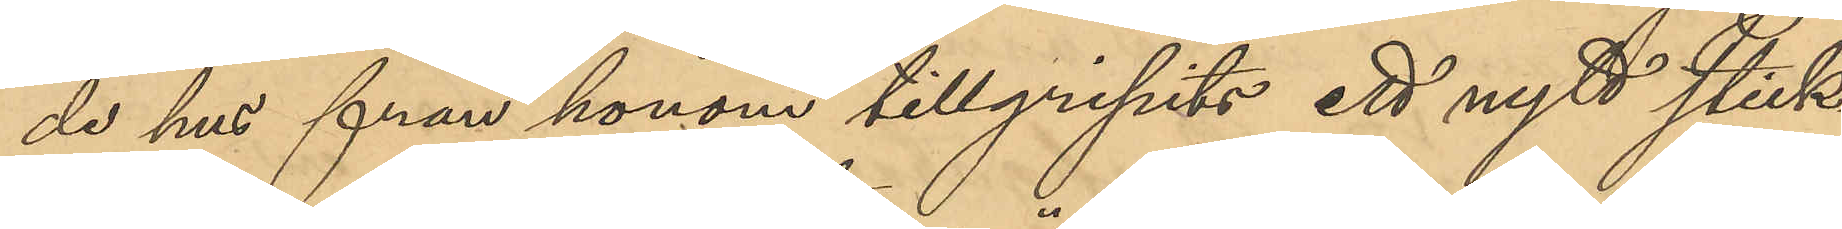de hus från honom tillgripits ett nytt stick¬
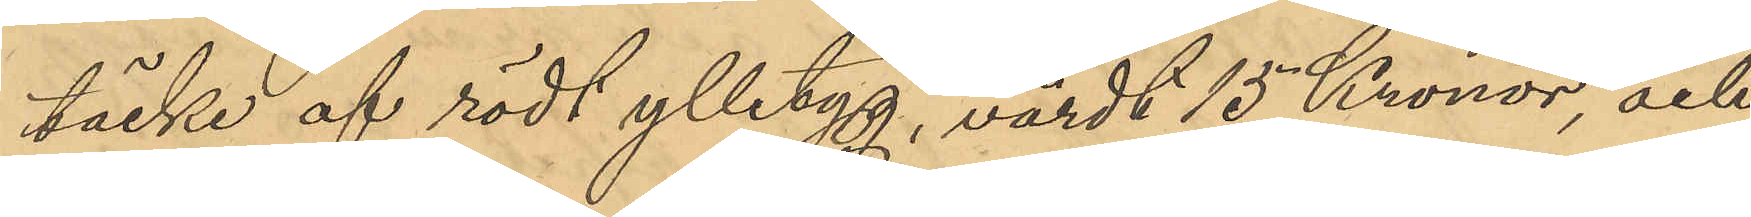täcke af rödt ylletyg, värdt 15 Kronor, och
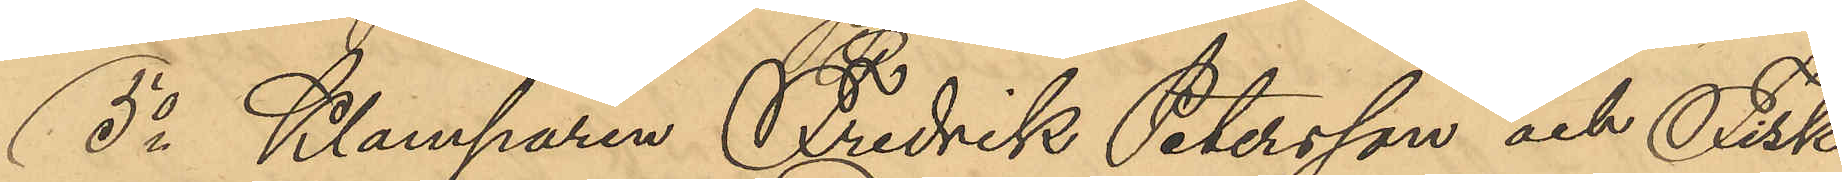5o Klamparen Fredrik Petersson och Fisk¬
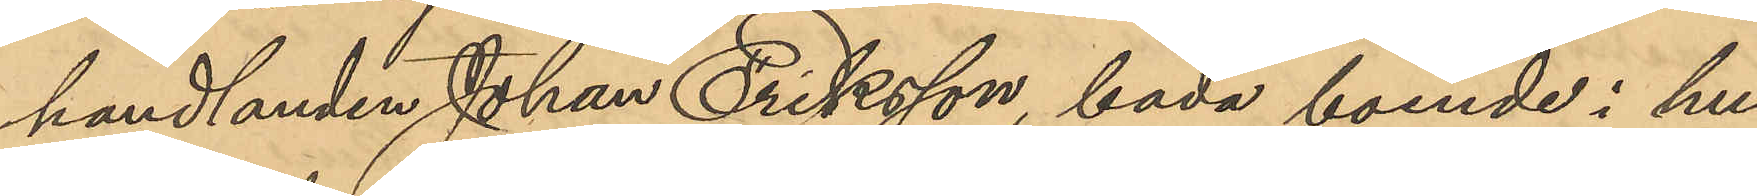handlanden Johan Eriksson, båda boende i hu¬
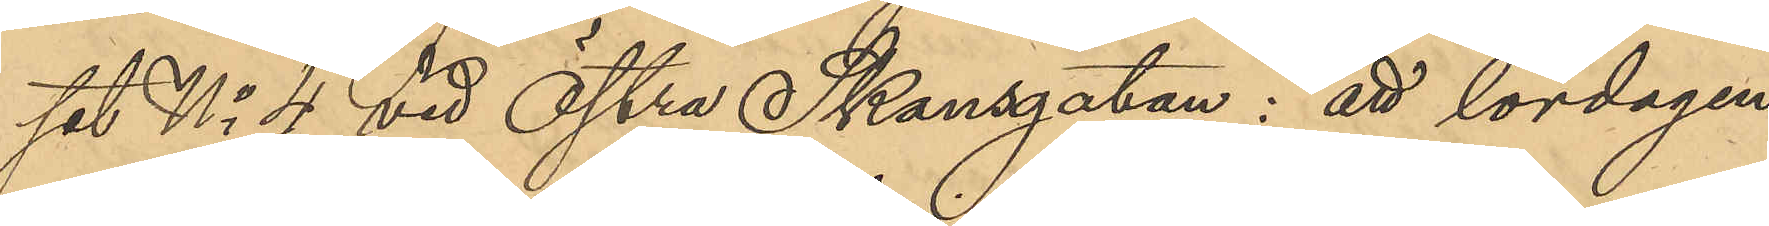set No 4 vid Östra Skansgatan: att lördagen
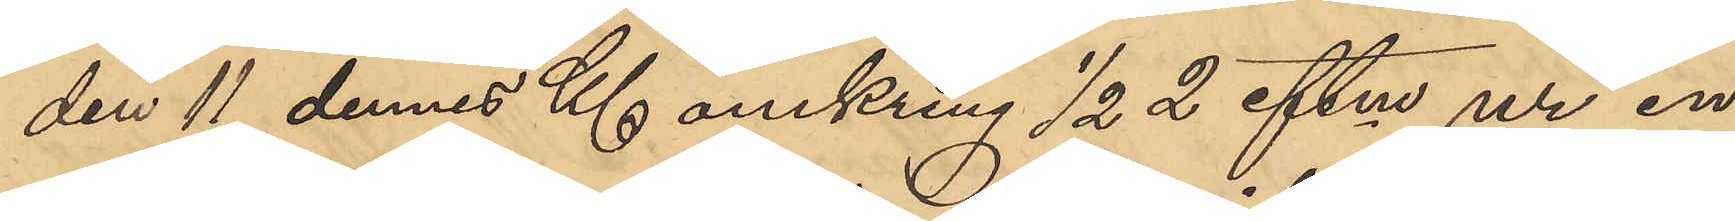den 11 dennes Kl omkring ½ 2 eftm ur en
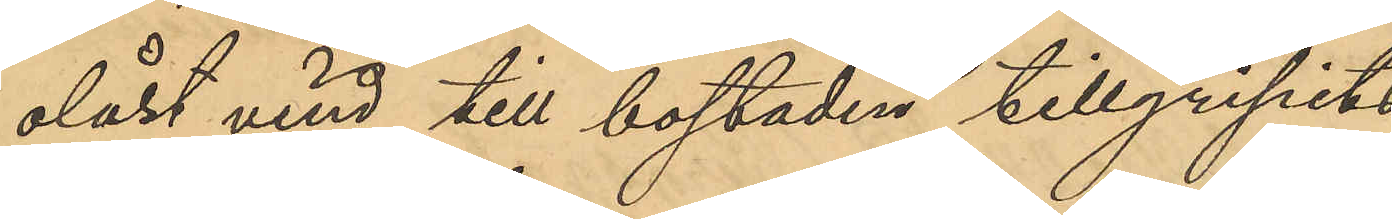olåst vind till bostaden tillgripits
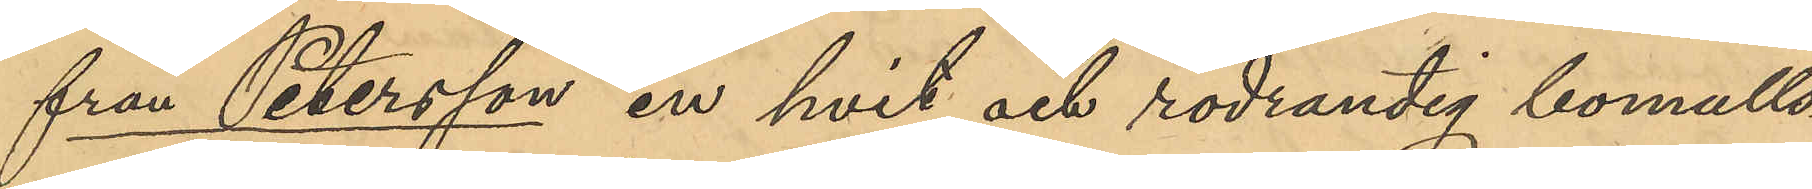från Petersson en hvit och rodrandig bomulls¬
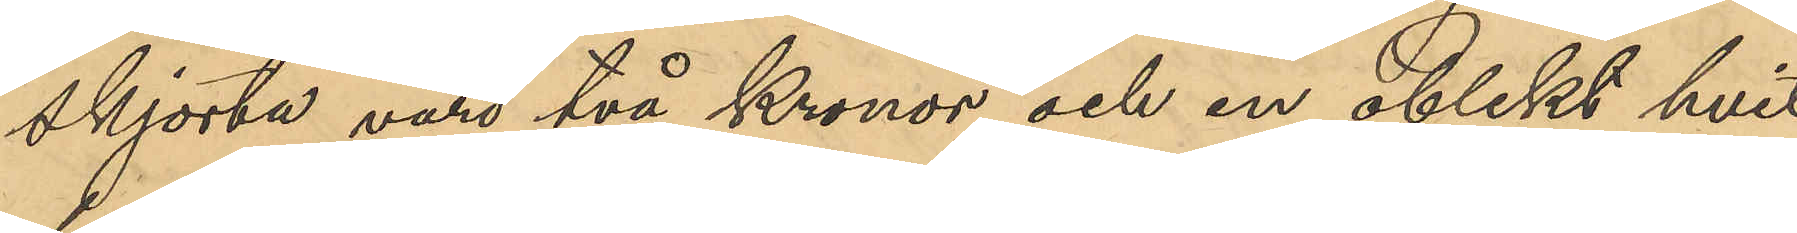skjorta värd två Kronor och en oblekt hvit
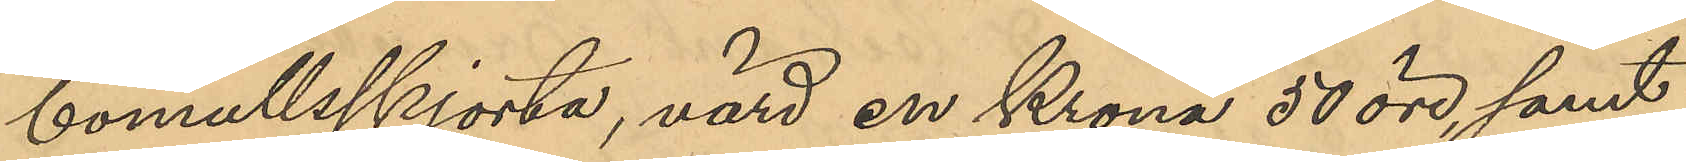bomullsskjorta, värd en Krona 50 öre, samt
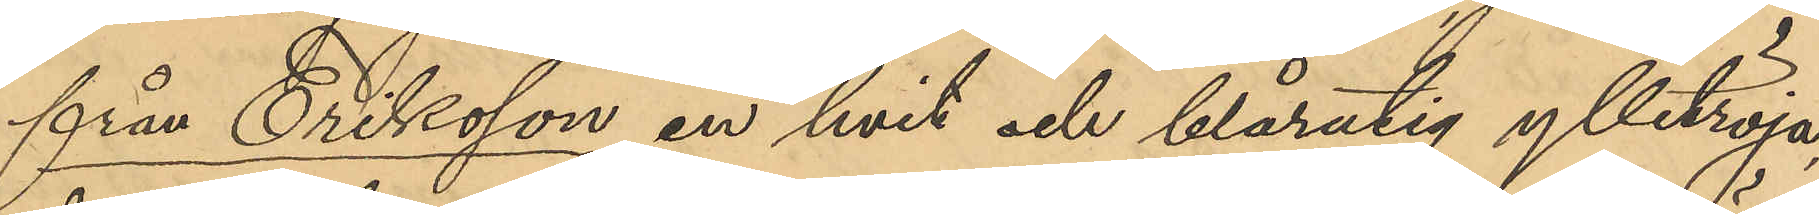från Eriksson en hvit och blårutig ylletröja
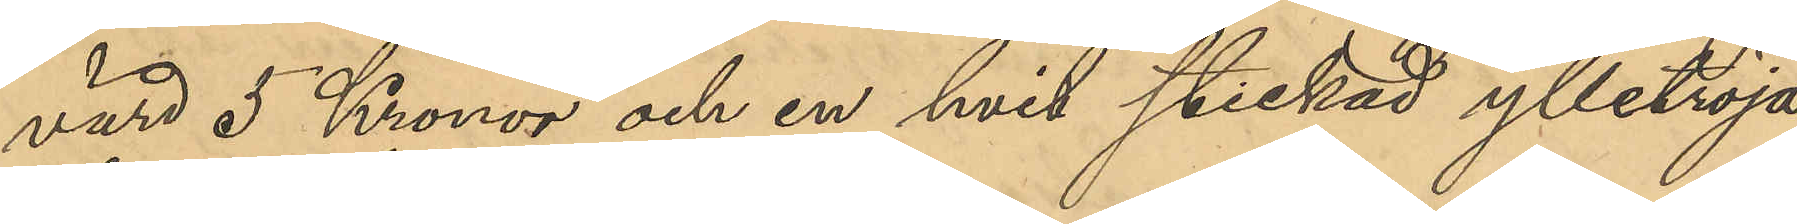värd 5 Kronor och en hvit stickad ylletröja,
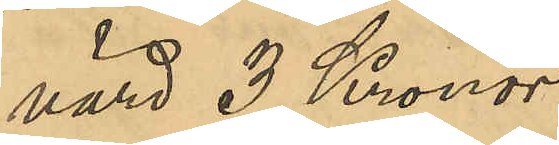värd 3 Kronor.
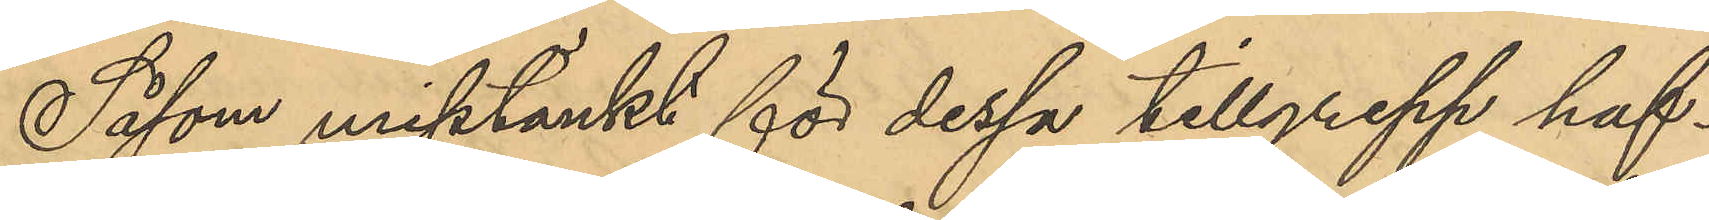Såsom misstänkt för dessa tillgrepp haf¬
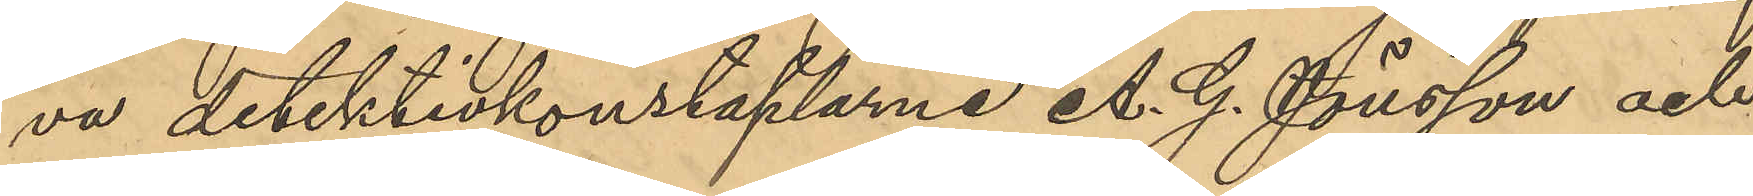va detektivkonstaplarne A. G. Jönsson och
